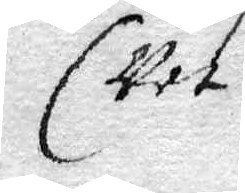vet
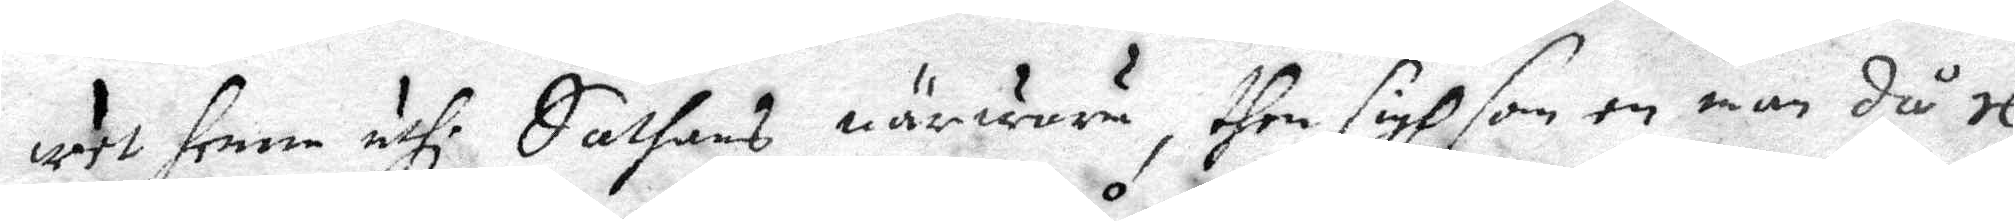vet henne uthi Sathans närwaru, then sigh som en man då re¬
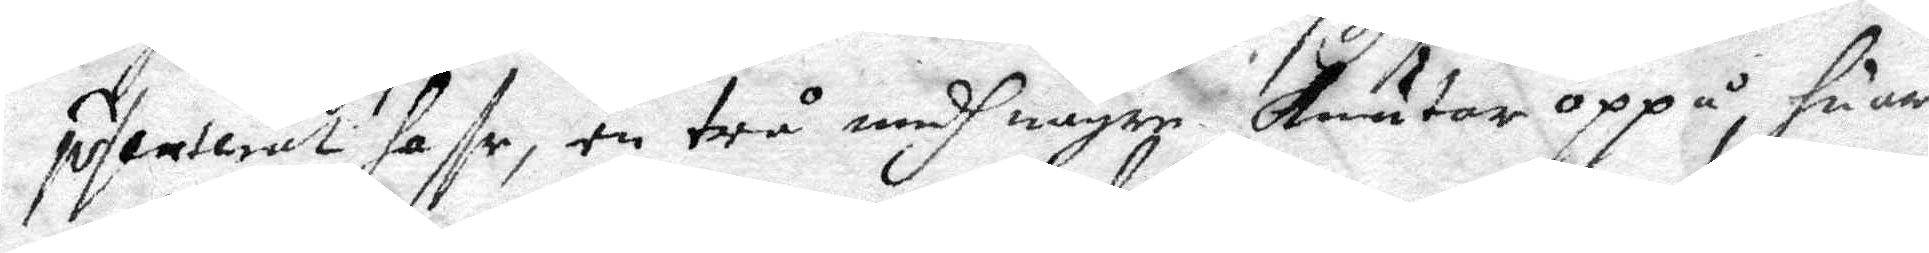pesenterat haffr, en trå medh någre knutar oppå, huar
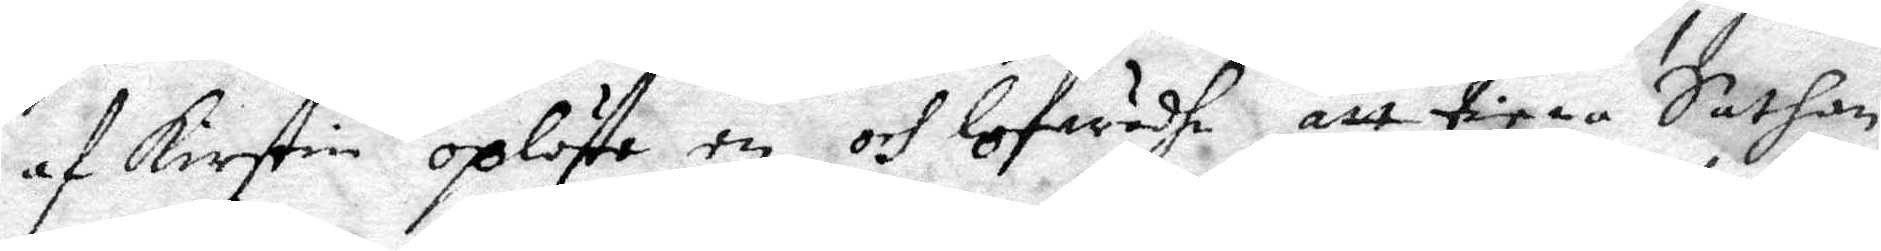af Kirstin oplöste en och lofwadhe att tiena Sathan
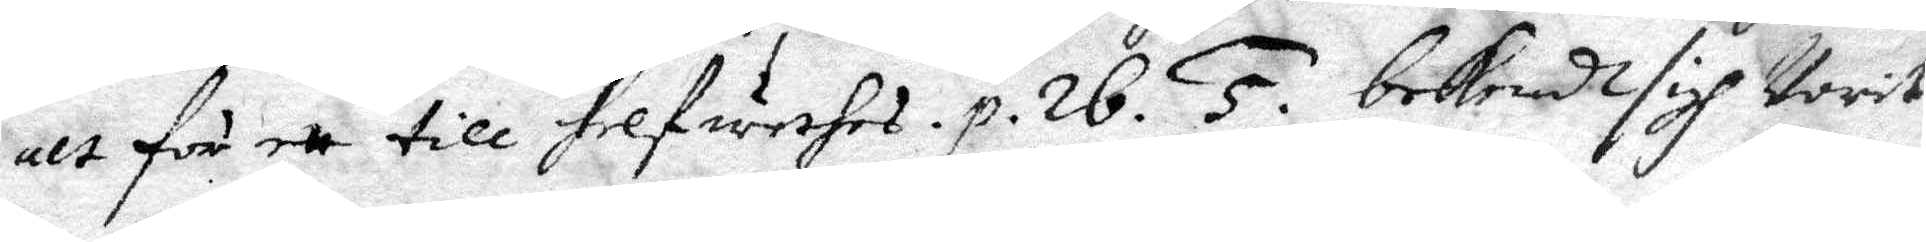alt för ett till helwethes. p. 26. 5. bekendhe sigh warit
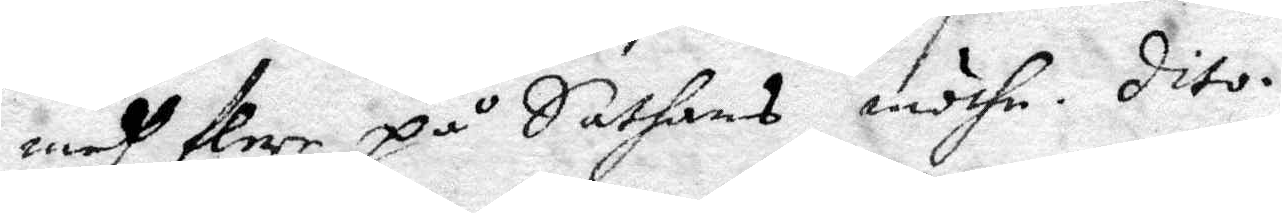medh flere på Sathans möthe. dito.
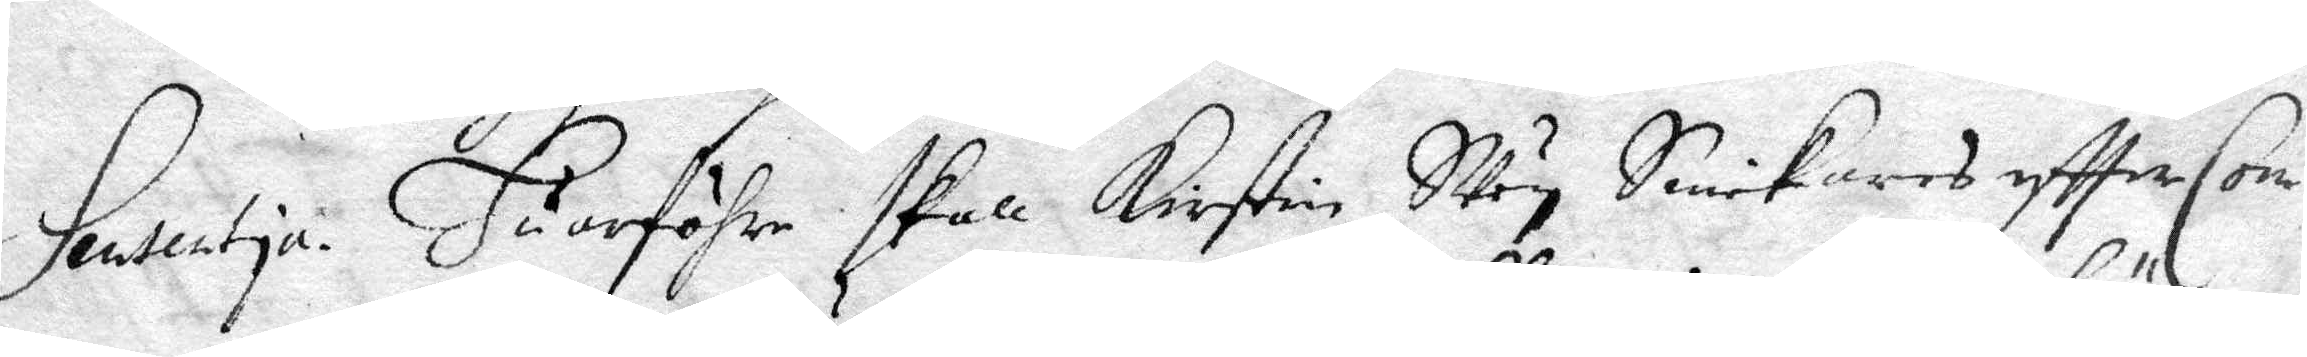Sentetia. Huarföhre skall Kirstin Sven Snickares eftter Com¬
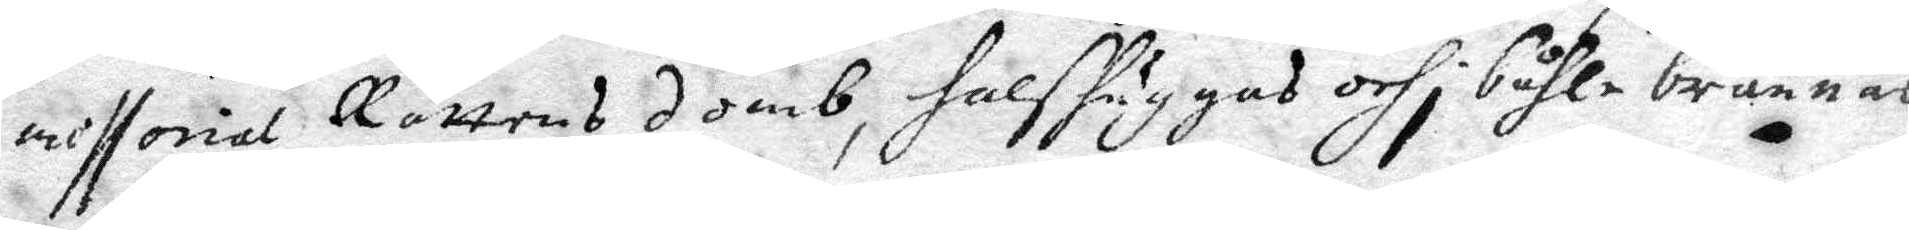missorial Rättens domb, halshuggas och i båhle brännas.
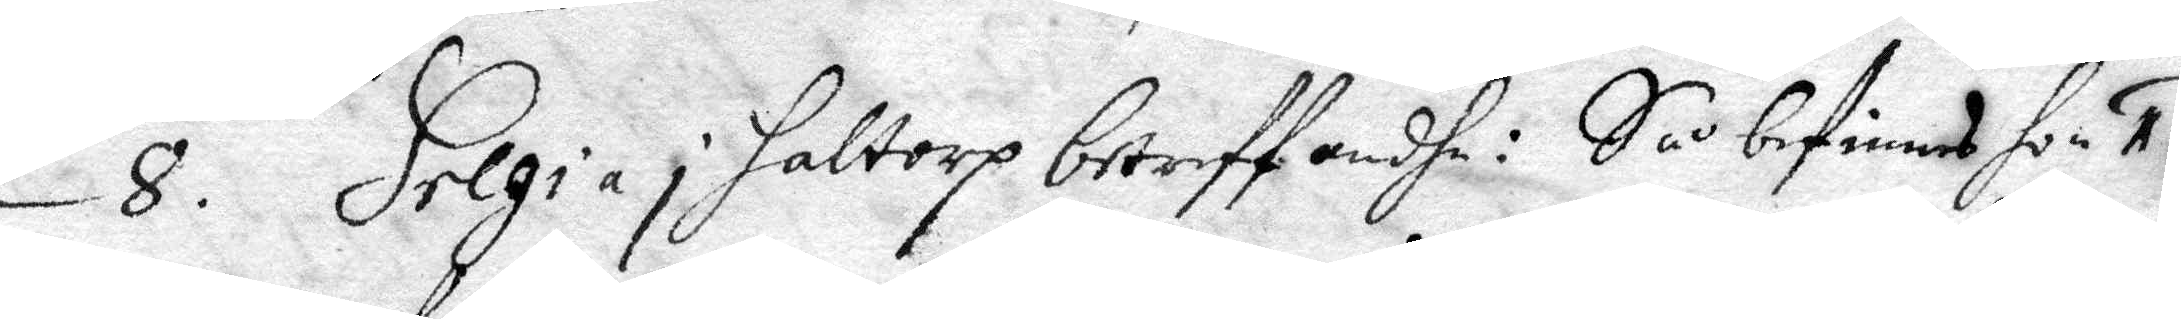8. Helgia i haltorp betreffandhe: Så befinnes hon 1.
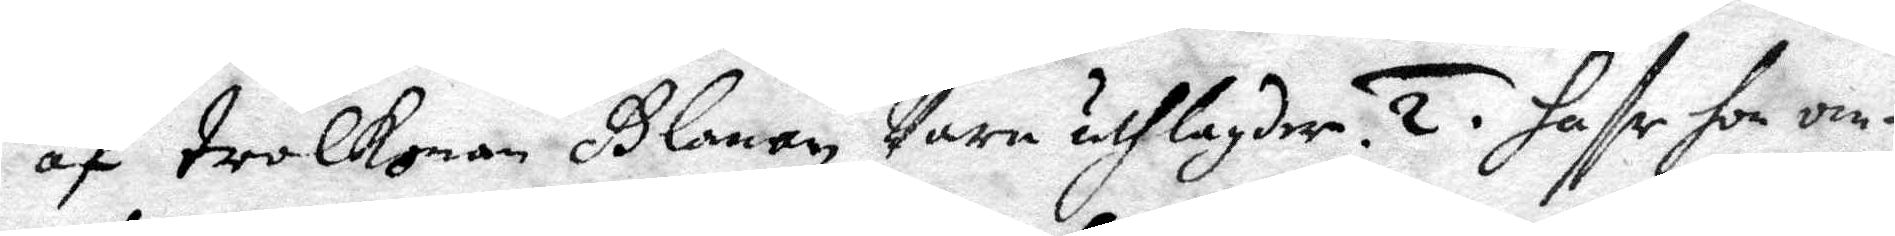af trolkonan Glanan vara utlagder. 2. haffr hon om¬
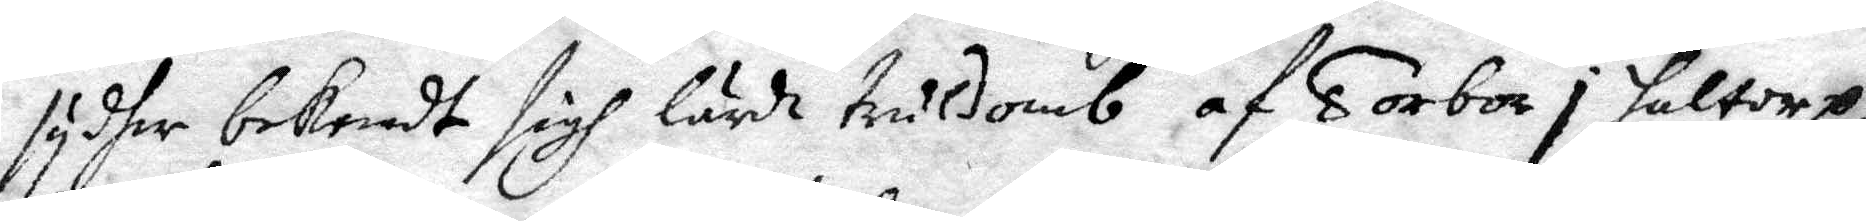syder bekendt sigh lärdt truldomb af Torbor i haltorp,
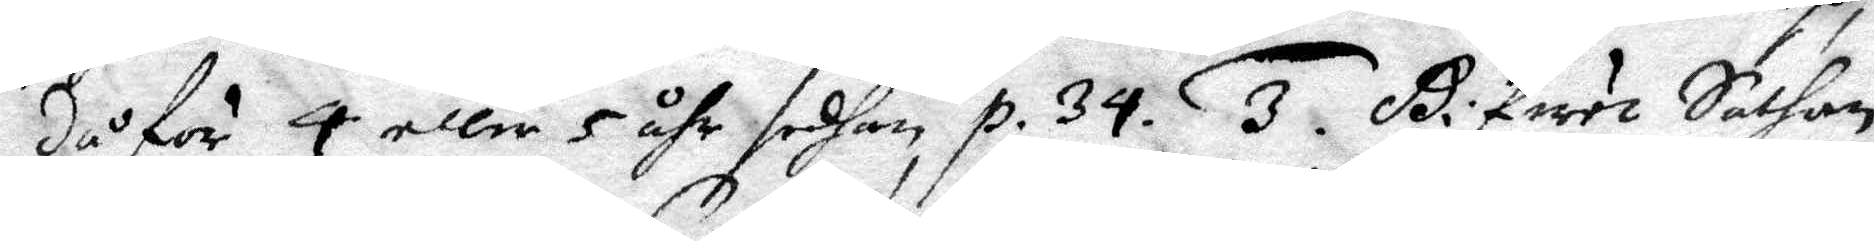då för 4 eller 5 åhr sedhan p. 34. 3. Gifuet Sathan
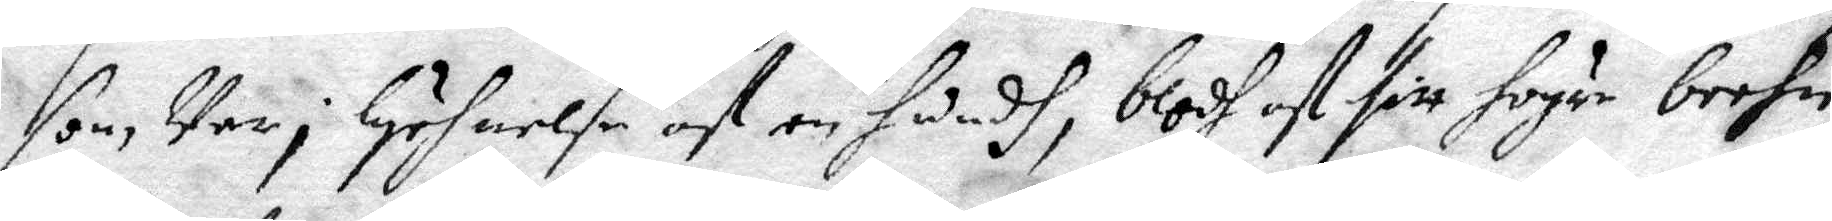som var i lychnelse af en hundh, blodh af sitt högre neehn,
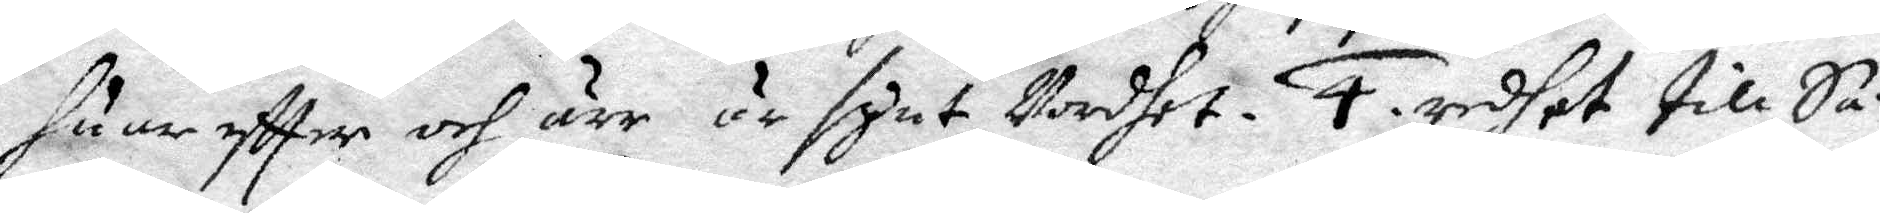huar eftter och ärr är synt vordhet. 4. redhet till Sa¬
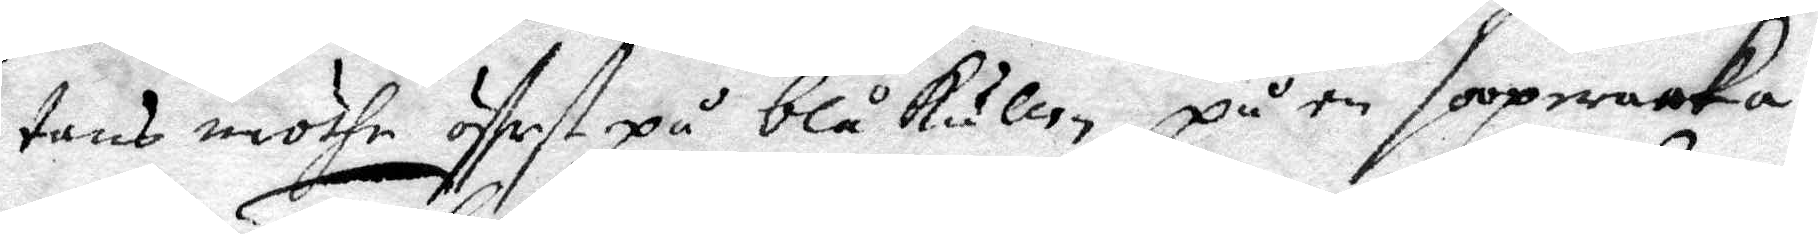tans möthe öfferst på blåkullen, på en sooperaaka.
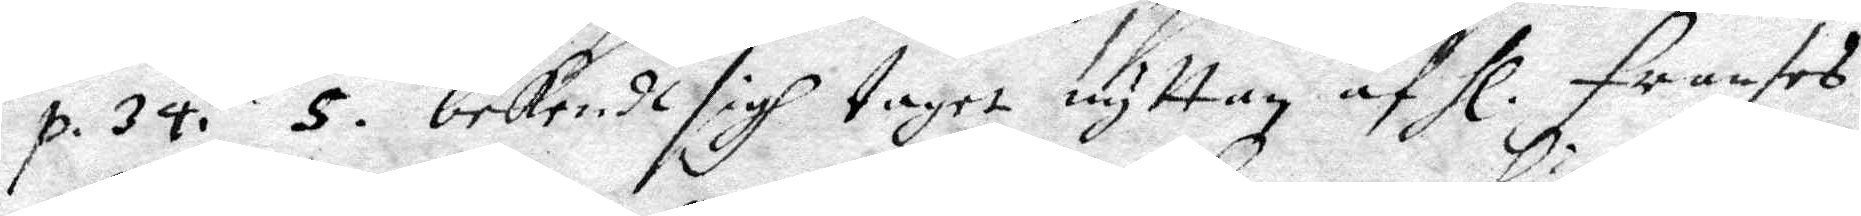p. 34. 5. bekede sigh taget nyttan af Hl. Franses
